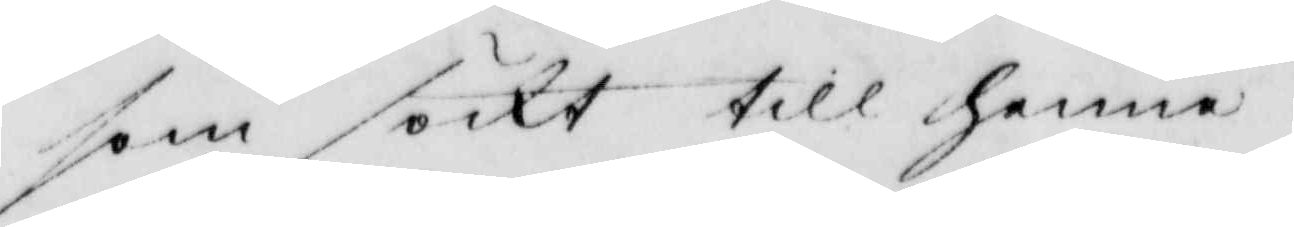som söckt till henne.
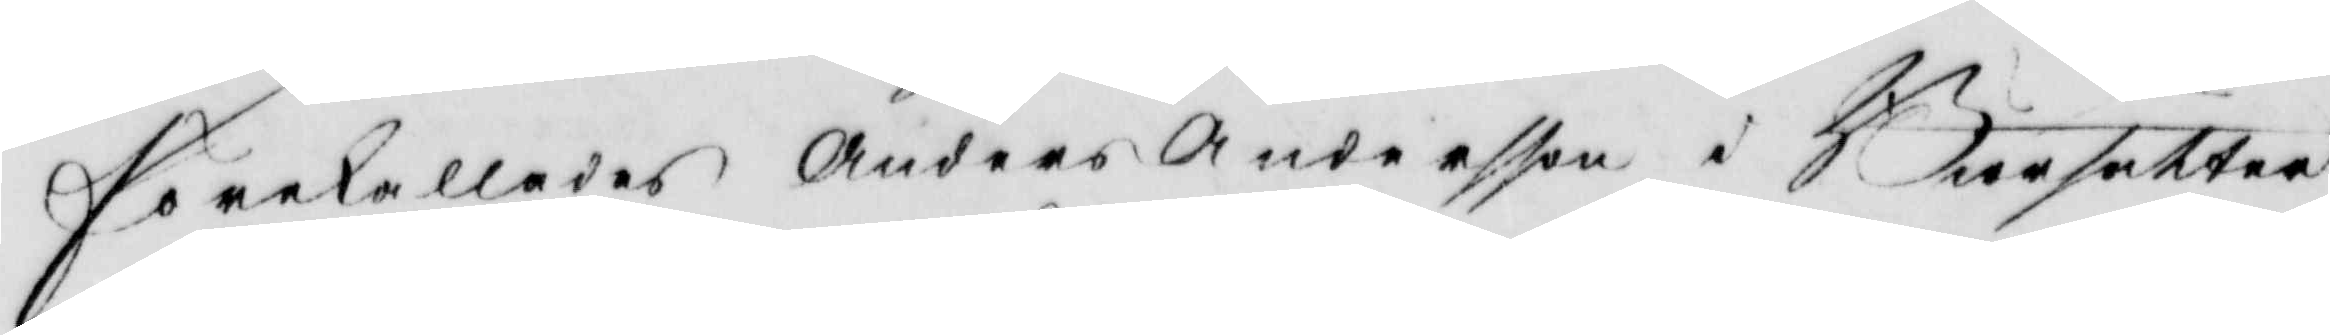Förekallades Anders Andersson i Bursätter
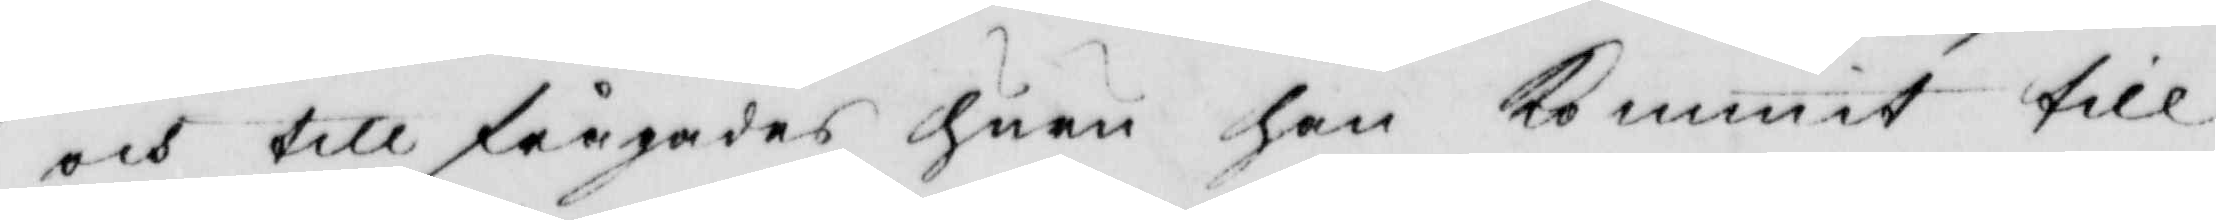och tillfrågades huru han Kommit till
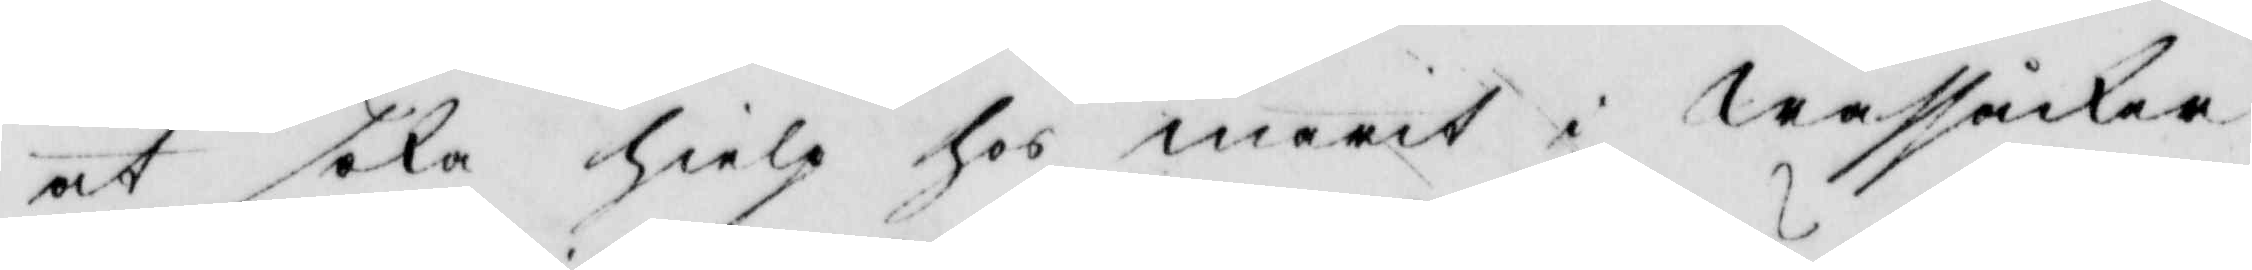at söka hielp hos marit i Awssåckra
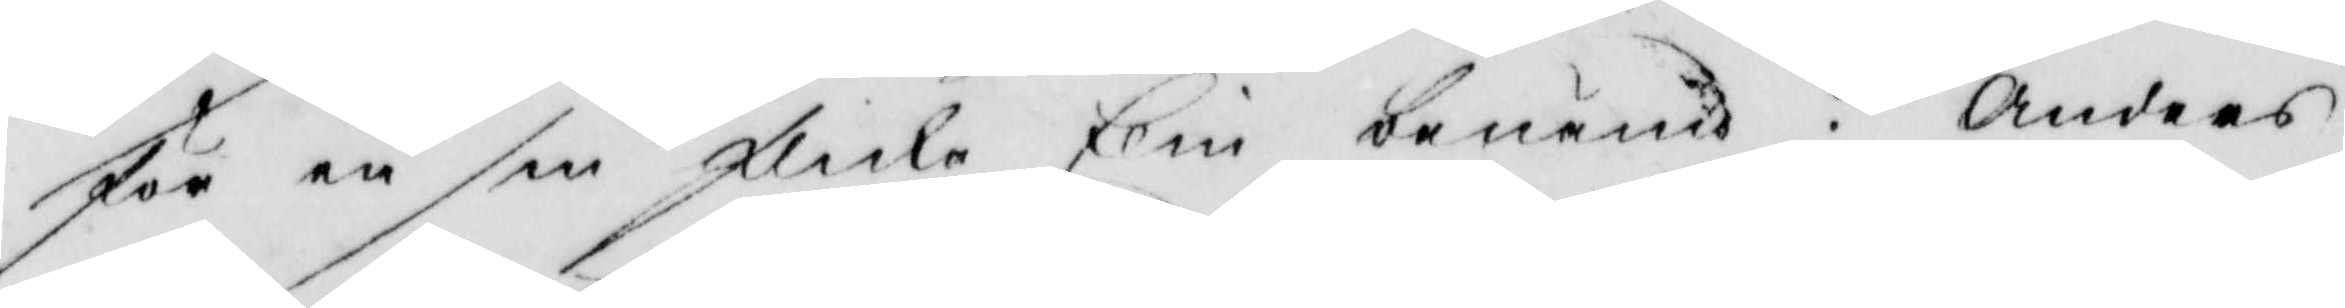för en sin flicka Elin benämd? Anders
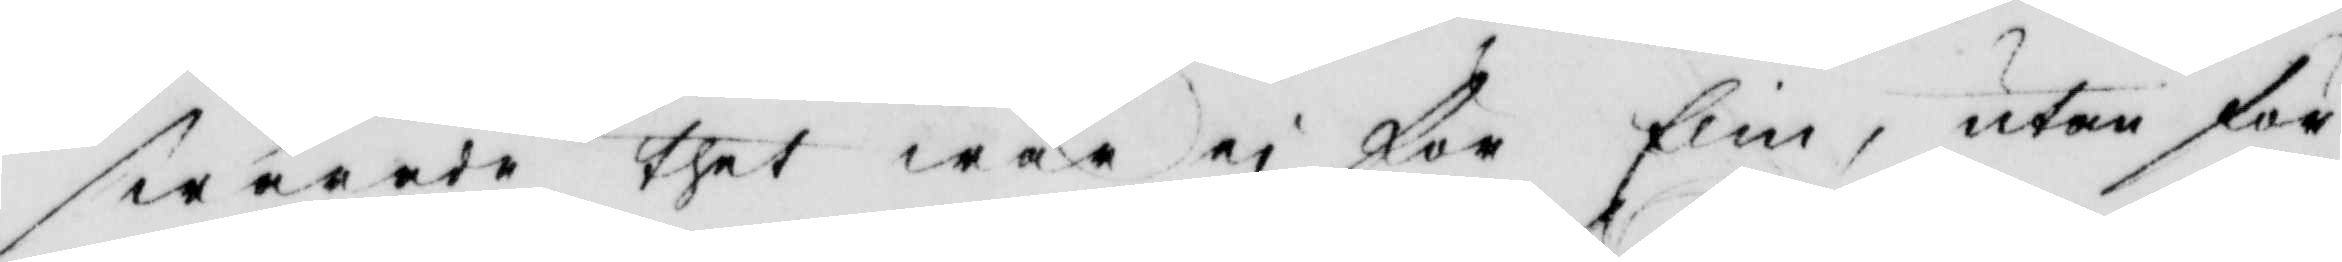swarade thet war ei för Elin, utan för
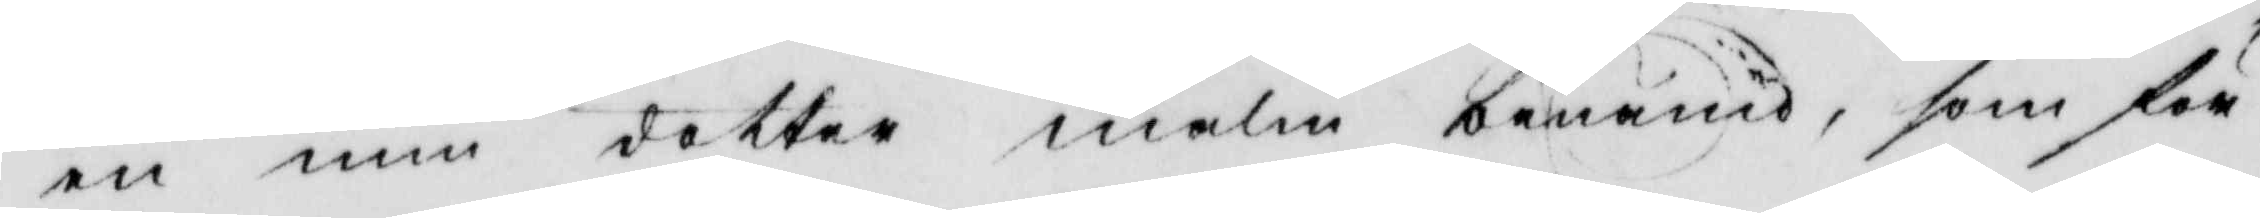en min dotter malin benämd, som för
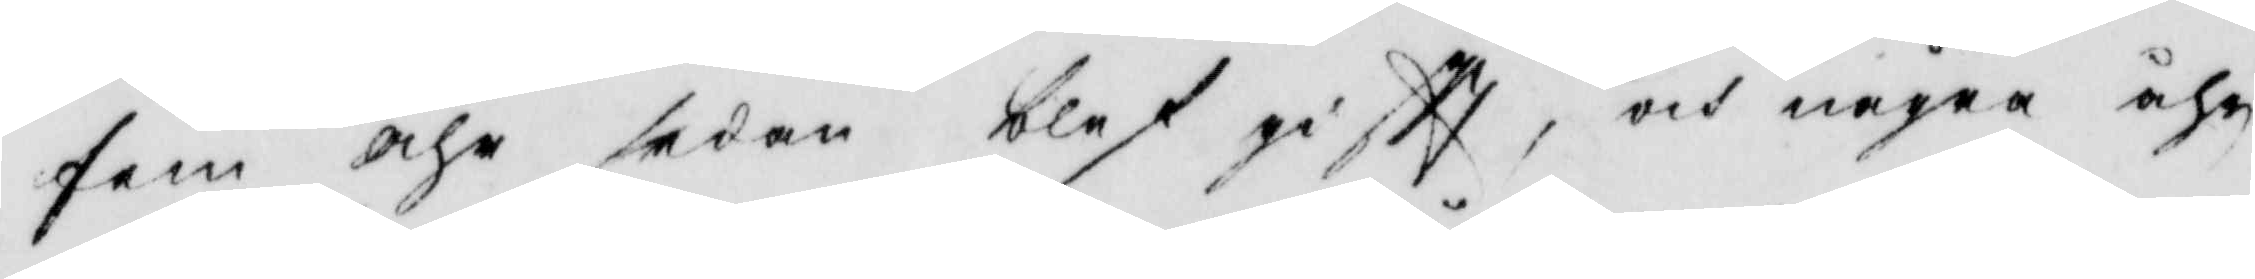fem åhr sedan blef giftt, och några åhr
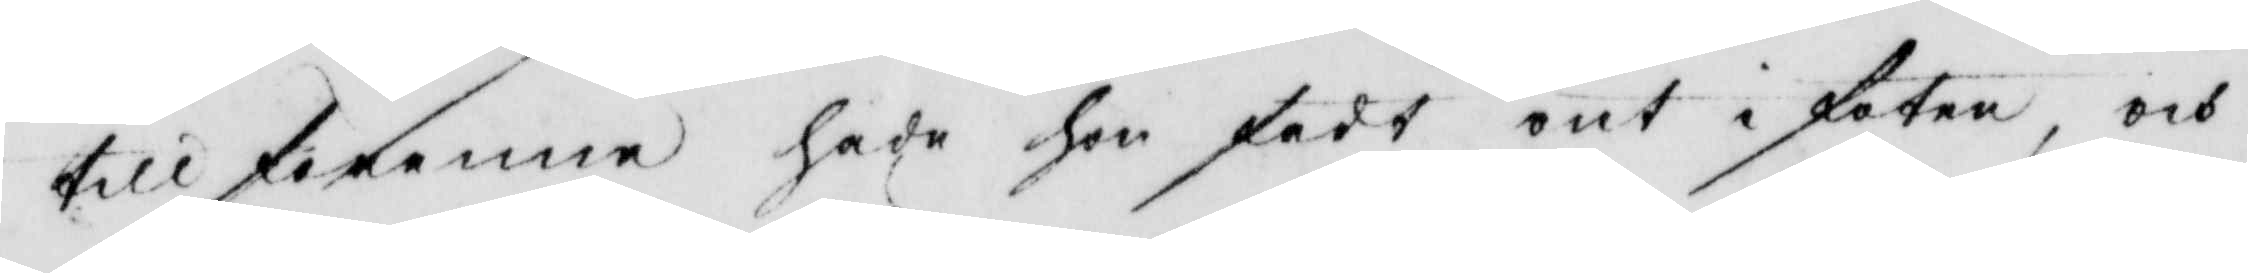tillförenne hade hon fådt ont i foten, och
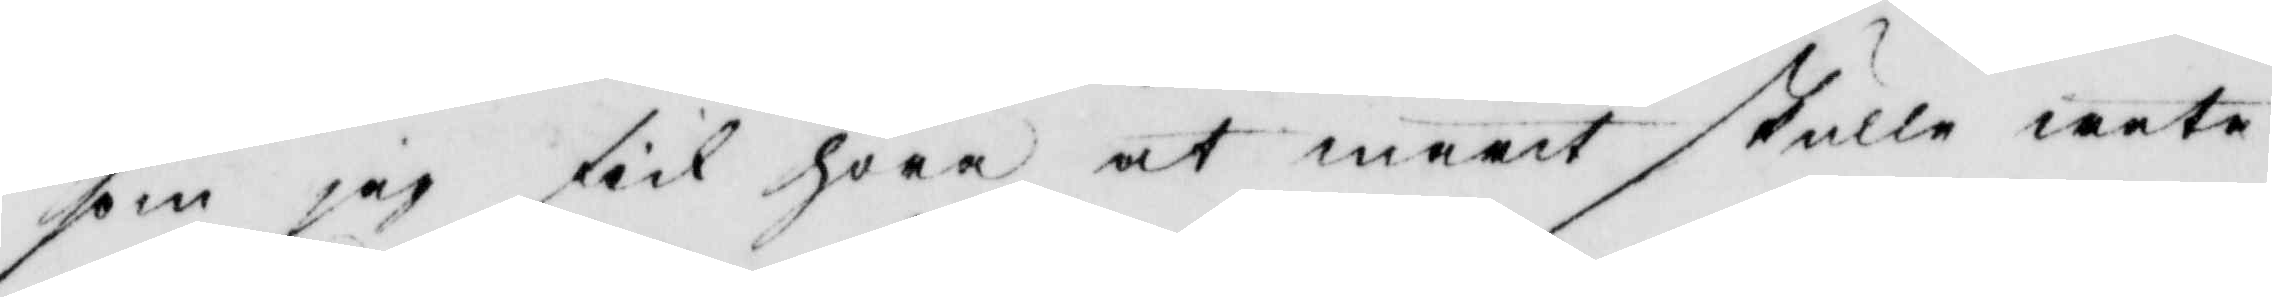som jag fick höra at marit skulle weta
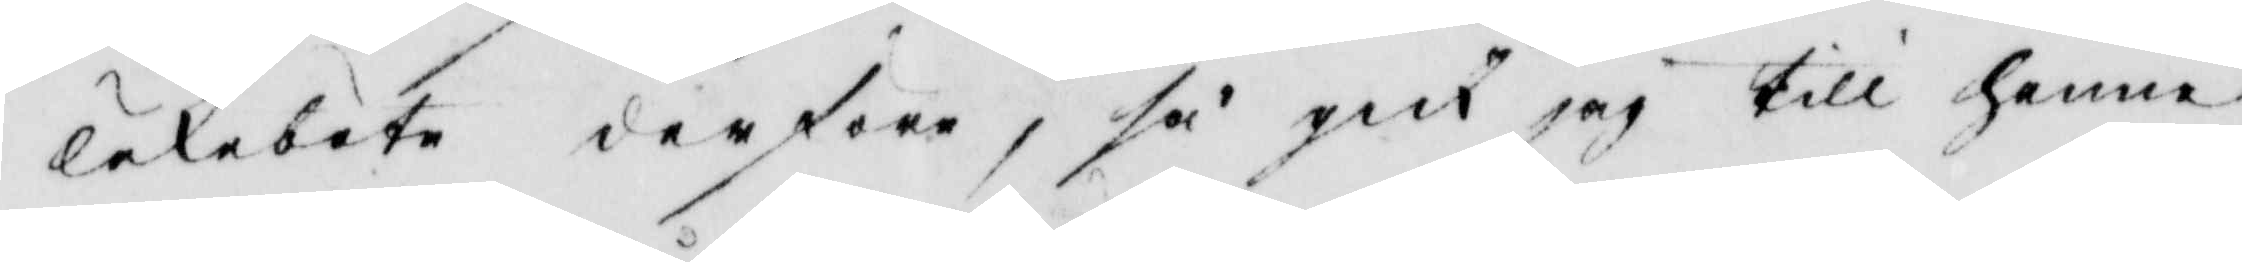läkebote derföre, så gick jag till henne
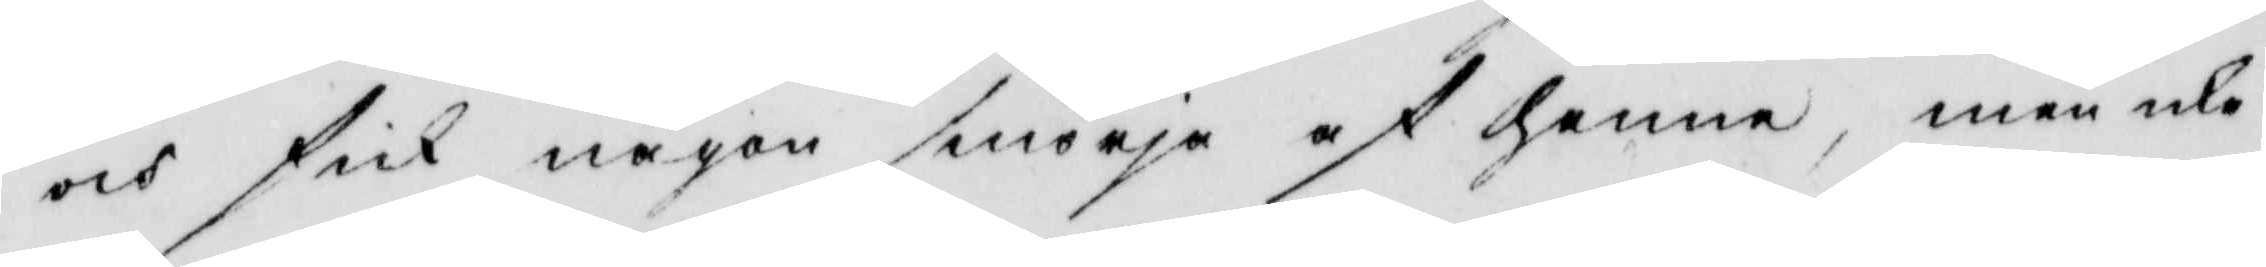och fick någon smörja af henne, men icke
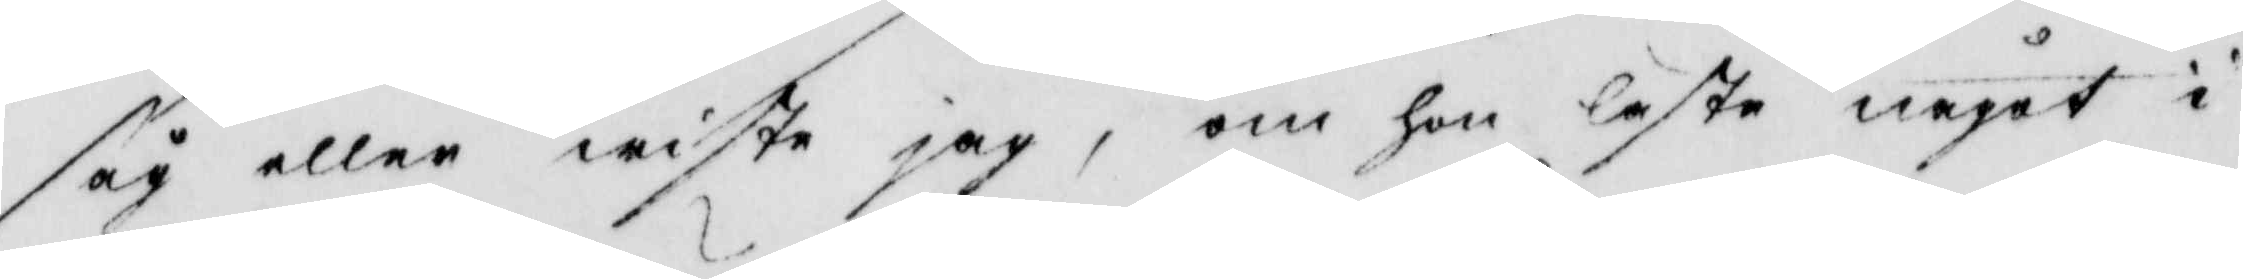såg eller wiste jag, om hon läste något i
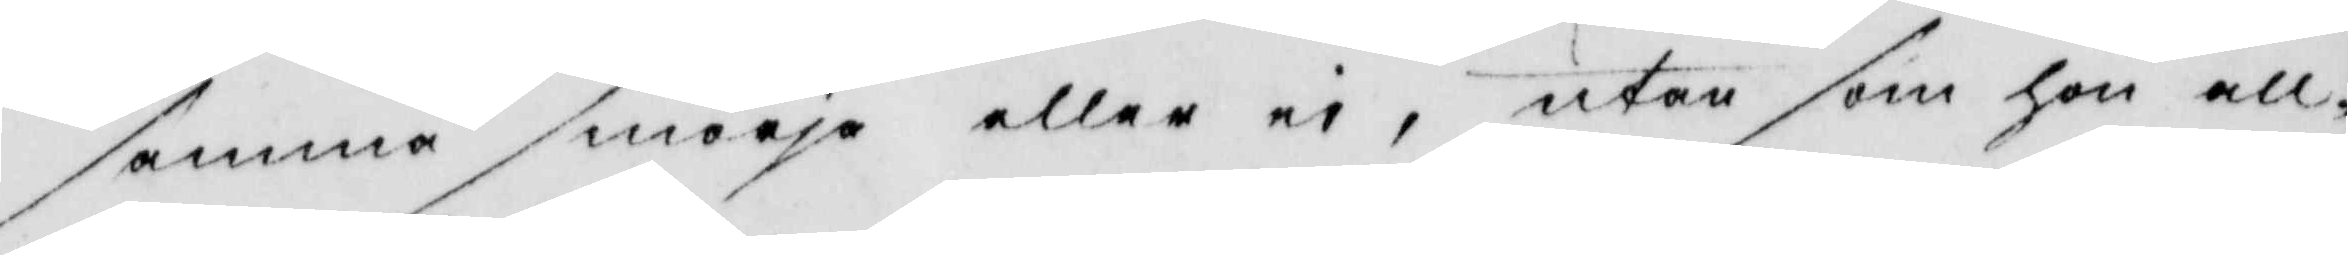samma smörja eller ei, utan som hon all¬
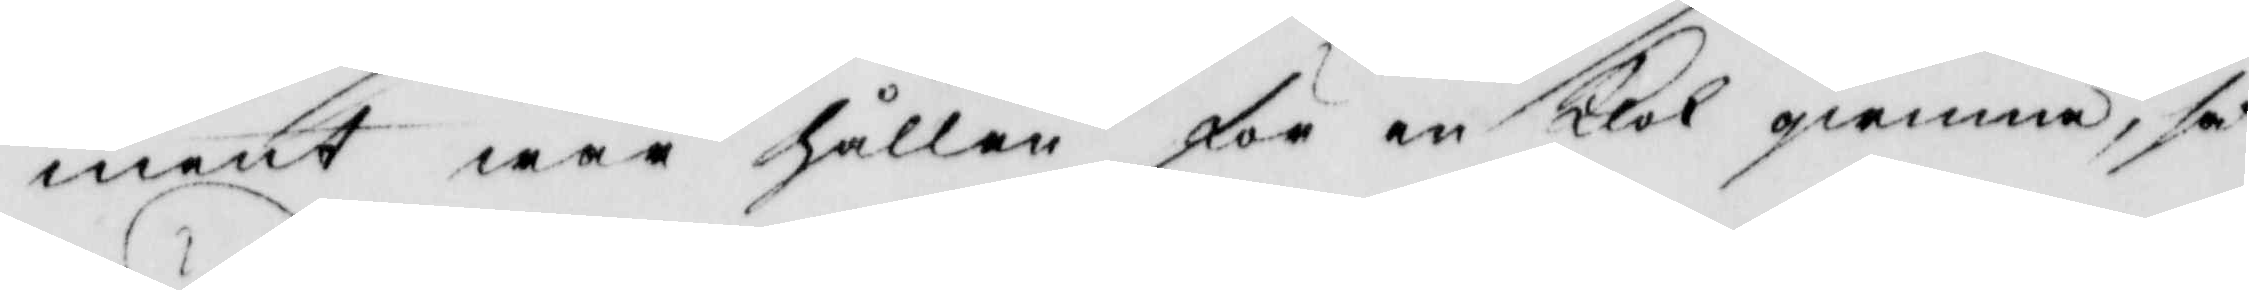ment war hållen för en klok gumma, så
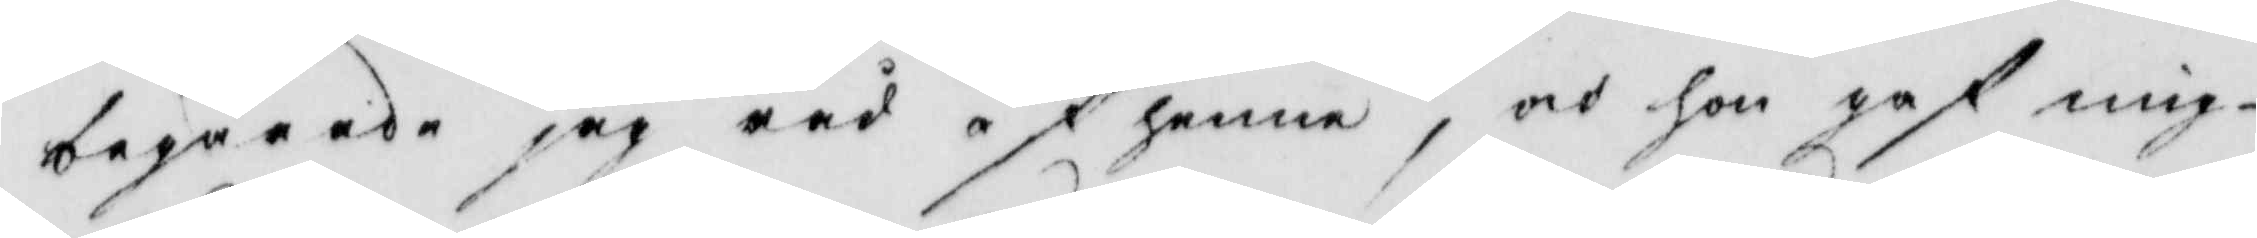begärade jag råd af henne, och hon gaf mig
